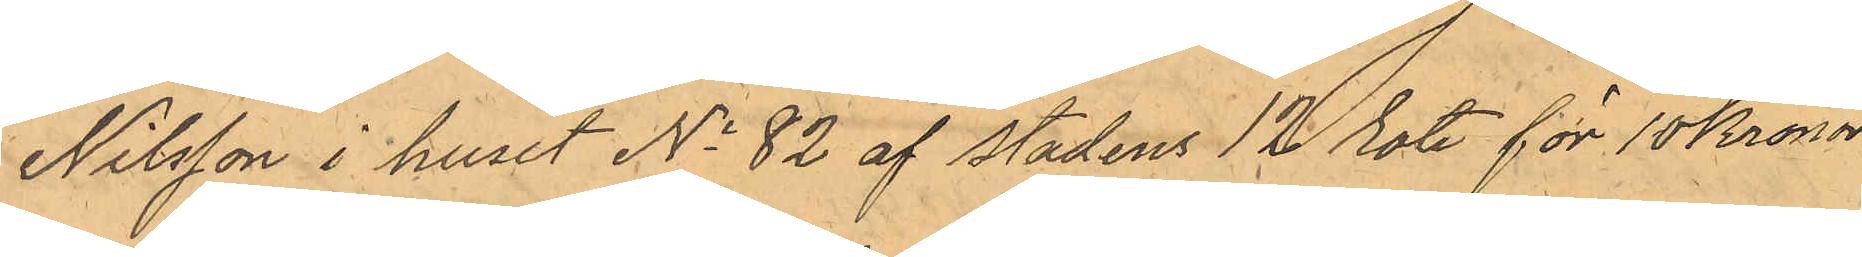Nilsson i huset No 82 af Stadens 12 rote för 10 Kronor
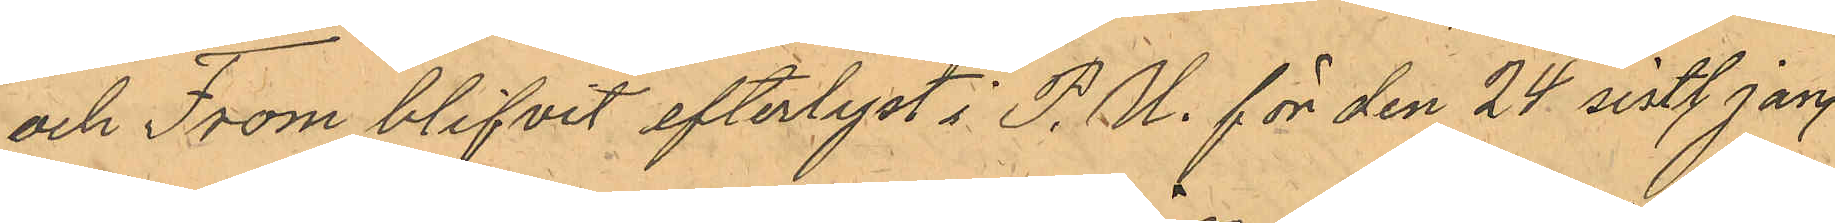och From blifvit efterlyst i P. U. för den 24 sistl Jan.
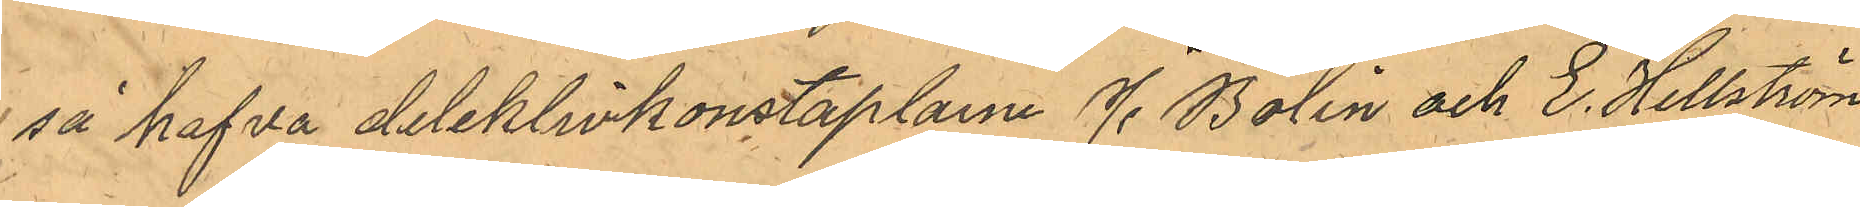så hafva detektivkonstaplarne J. Bolin och E. Hellström
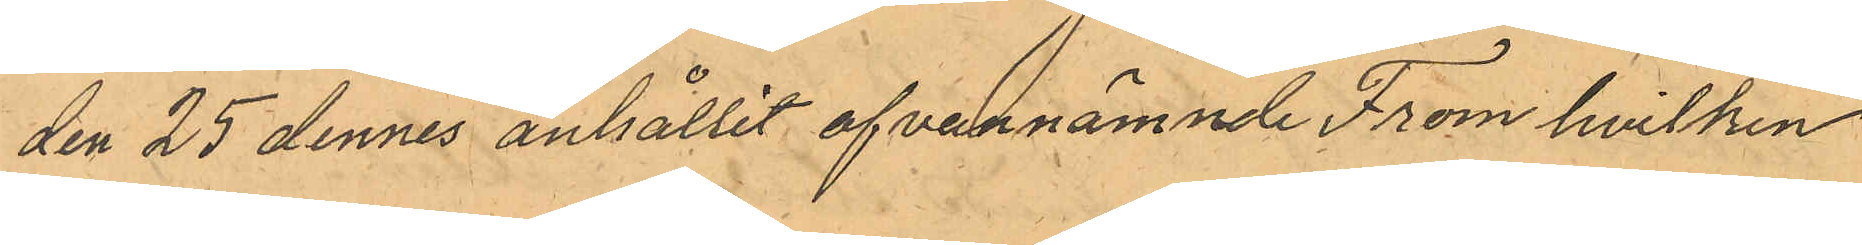den 25 dennes anhållit ofvannämnde From hvilken
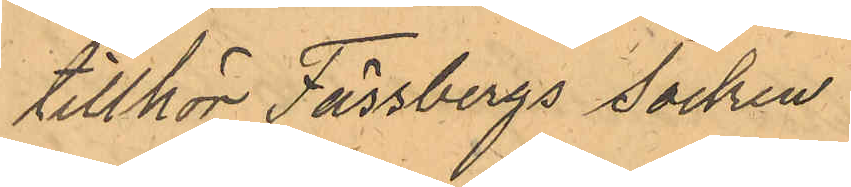tillhör Fässberg Socken.
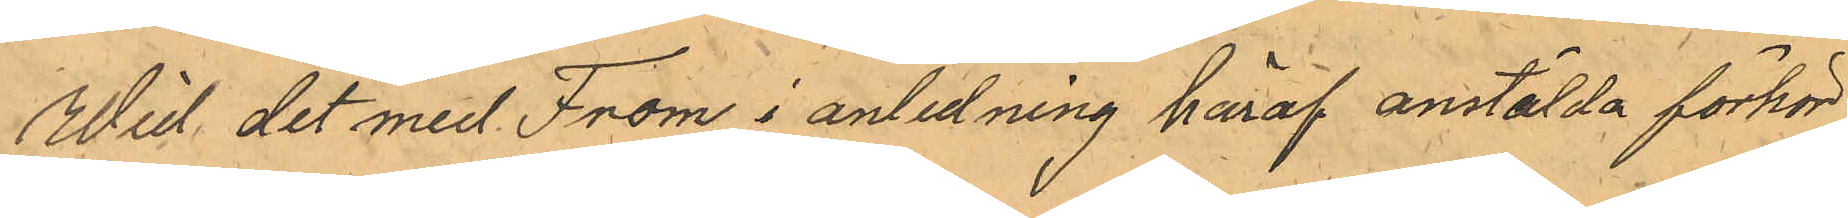Wid det med From i anledning häraf anstälda förhör
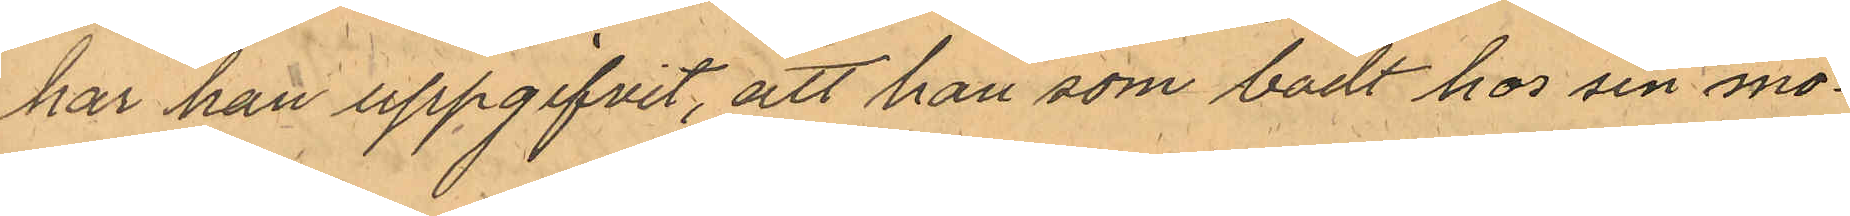har han uppgifvit, att han som bodt hos som mo¬
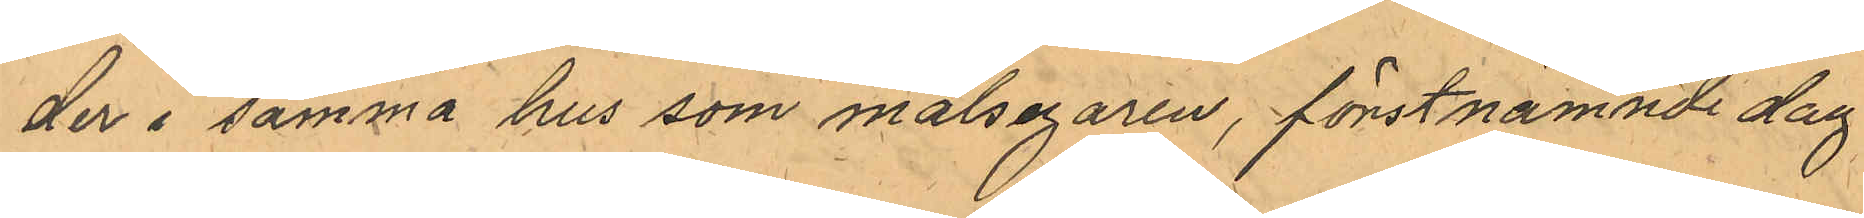der i samma hus som målsegaren, förstnämnde dag
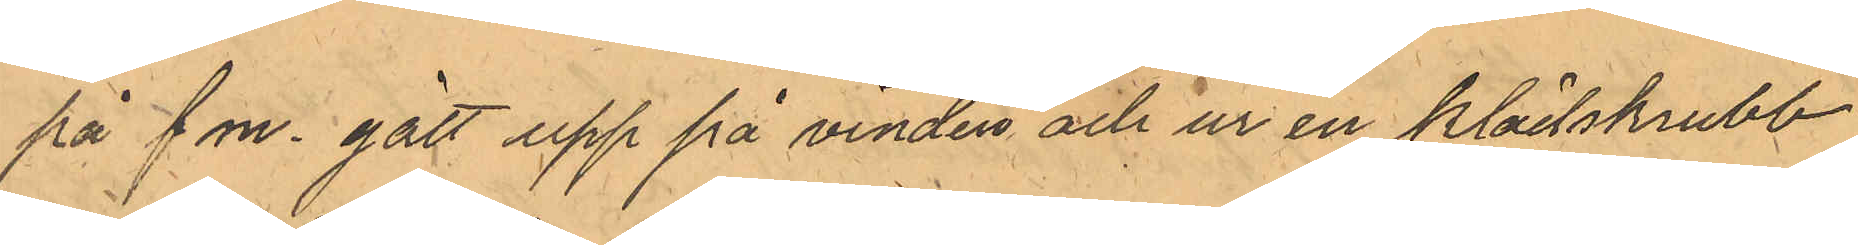på f m. gått upp på vinden och ur en klädskrubb
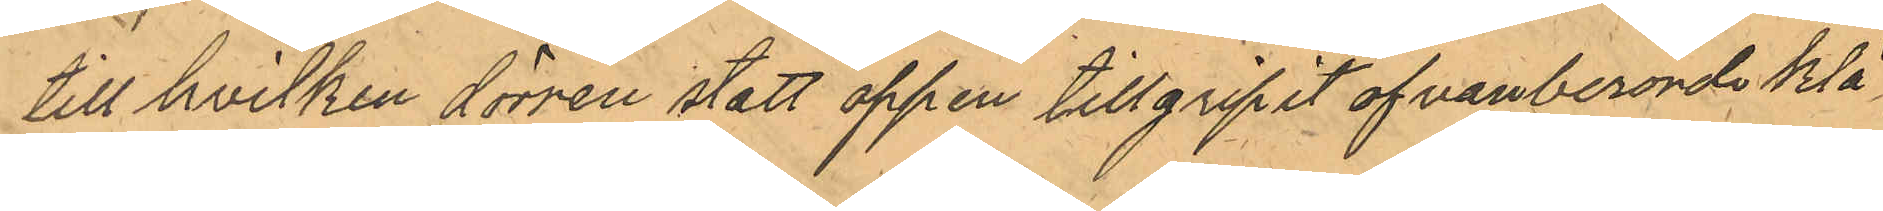till hvilken dörren stått öppen tillgripit ofvanberörde klä¬
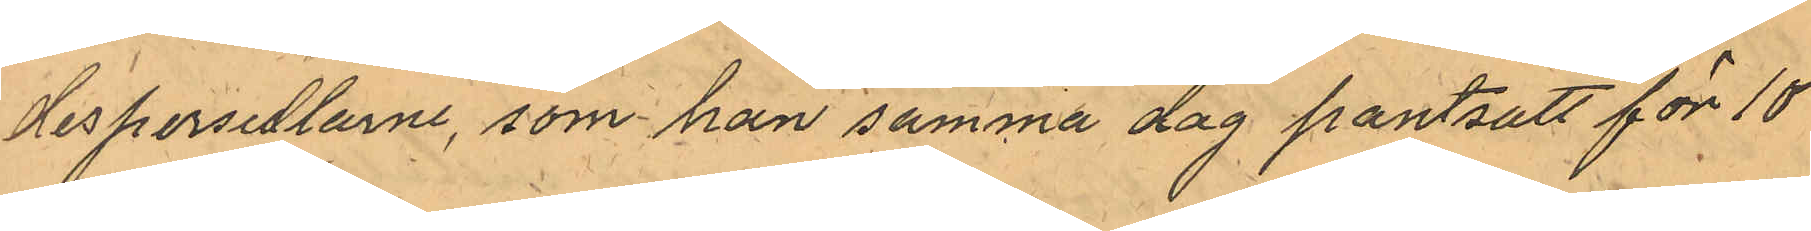despersedlarne, som han samma dag pantsatt för 10
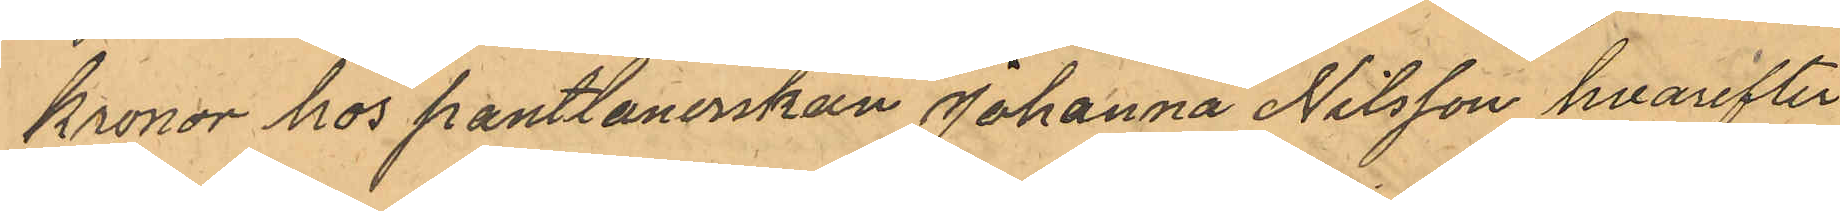kronor hos pantlanerskan Johanna Nilsson hvarefter
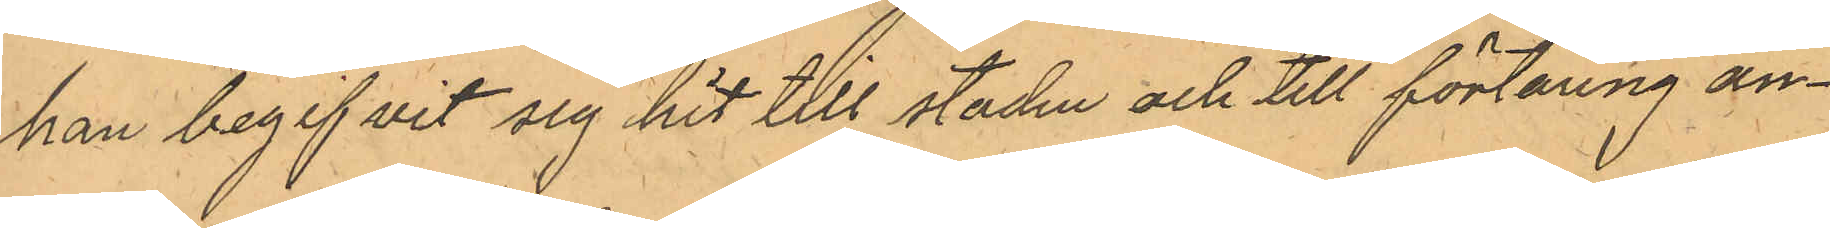han begifvit sig hit till staden och till förtäring an¬
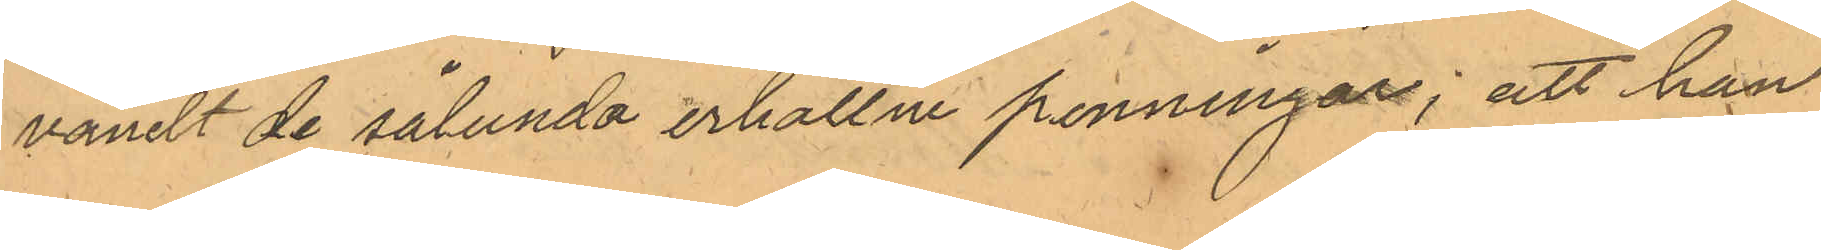vändt de sålunda erhållne penningar; att han
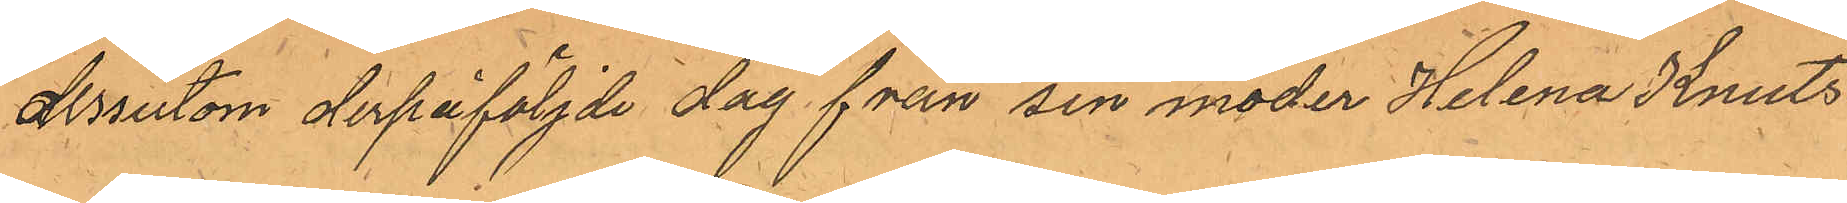dessutom derpåföljde dag från sin moder Helena Knuts¬
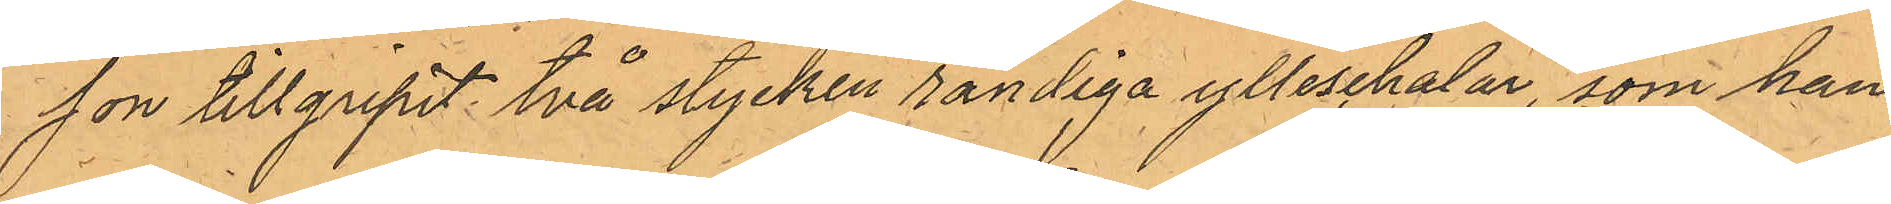son tillgripit två stycken randiga ylleschalar, som han
